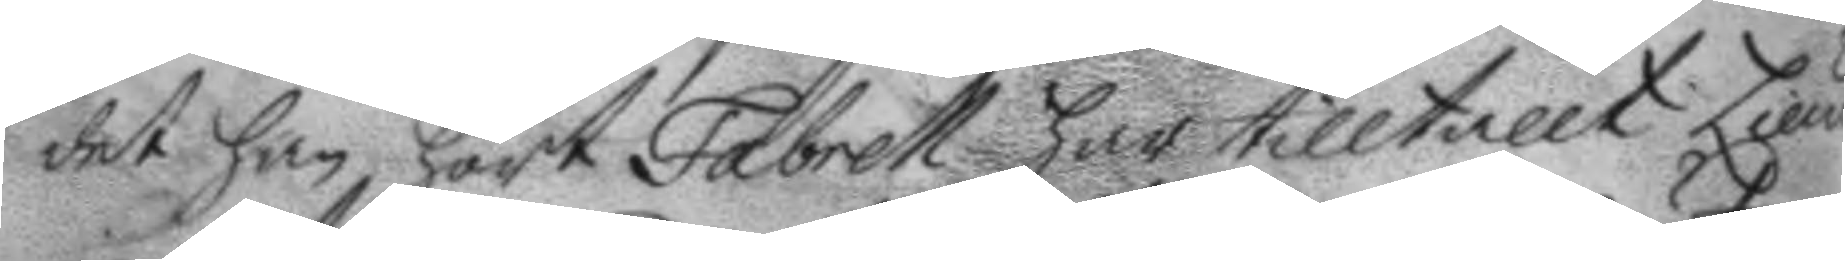det han hört Fabrell här tilltallt Lieut¬ 
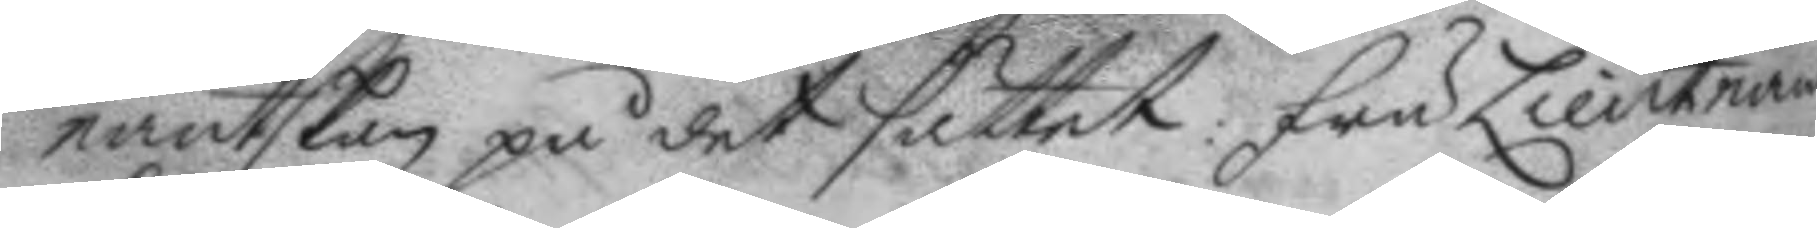nantskan på det sättet: Fru Lieutnant¬
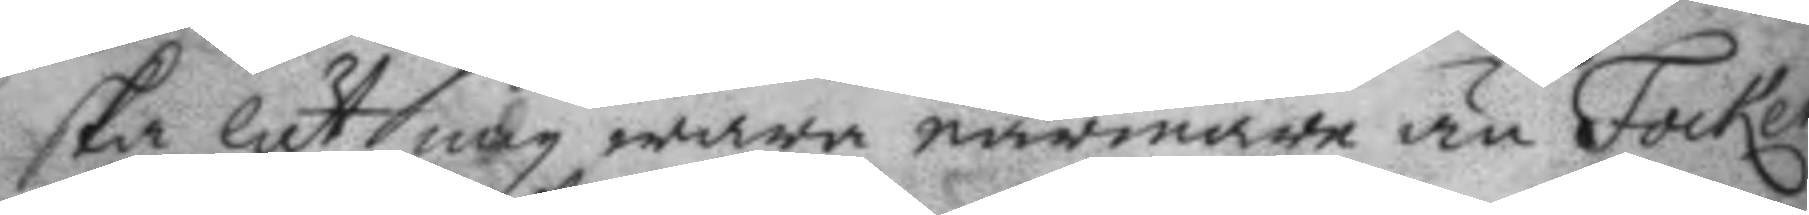ska låt mig wara närmare än Focken,
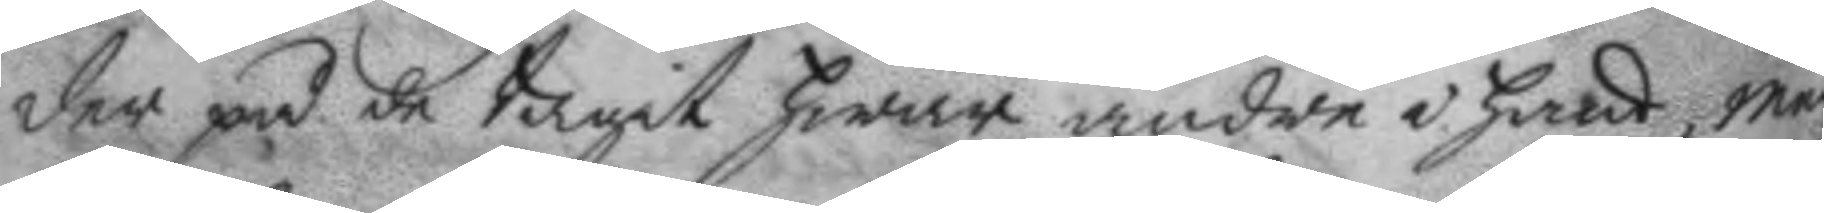der på de tagit hwar andre i hand, man
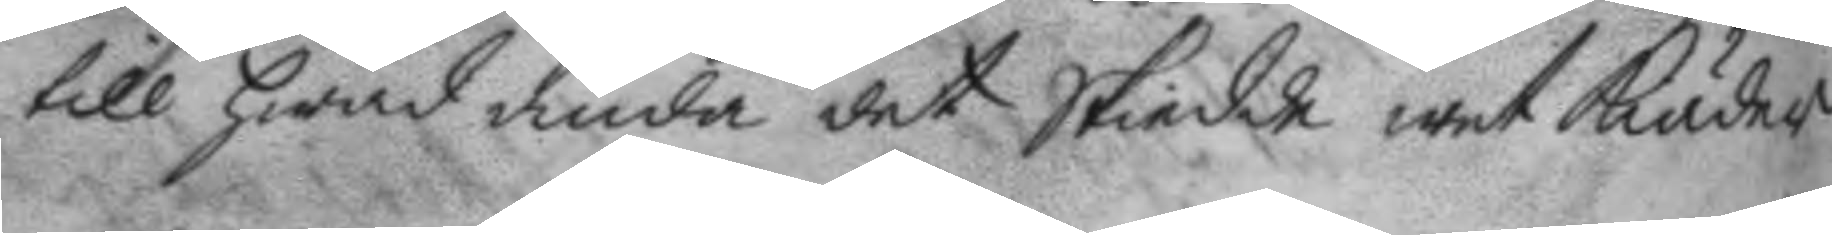till hwad ända det skiedde wet Kiäder
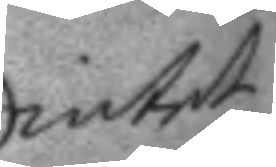intet
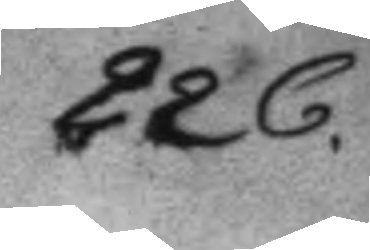226.
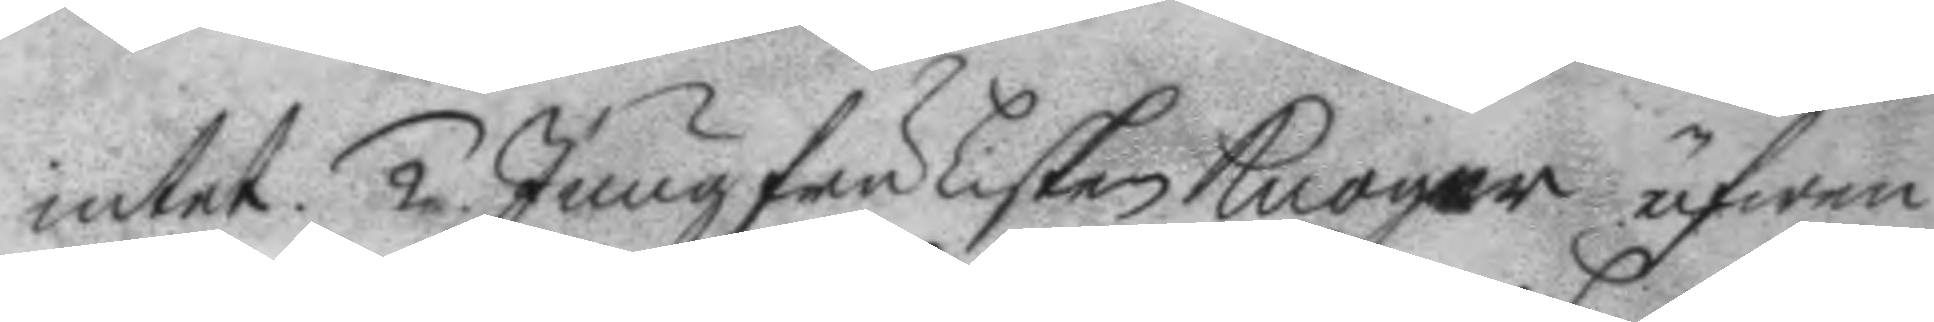intet. 2. Jungfru Lisken knoger äfwen
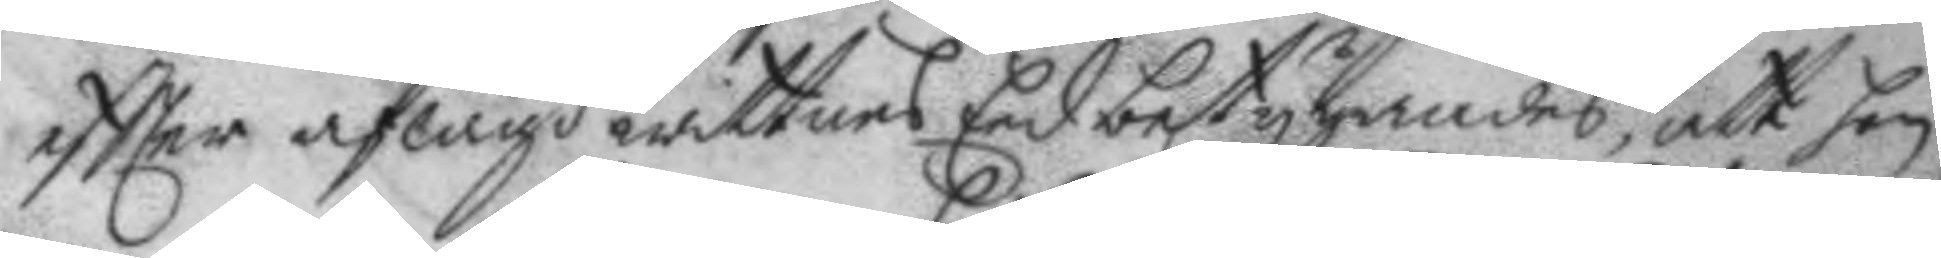eftter aflagd wittnes Eed betygandes, att hon
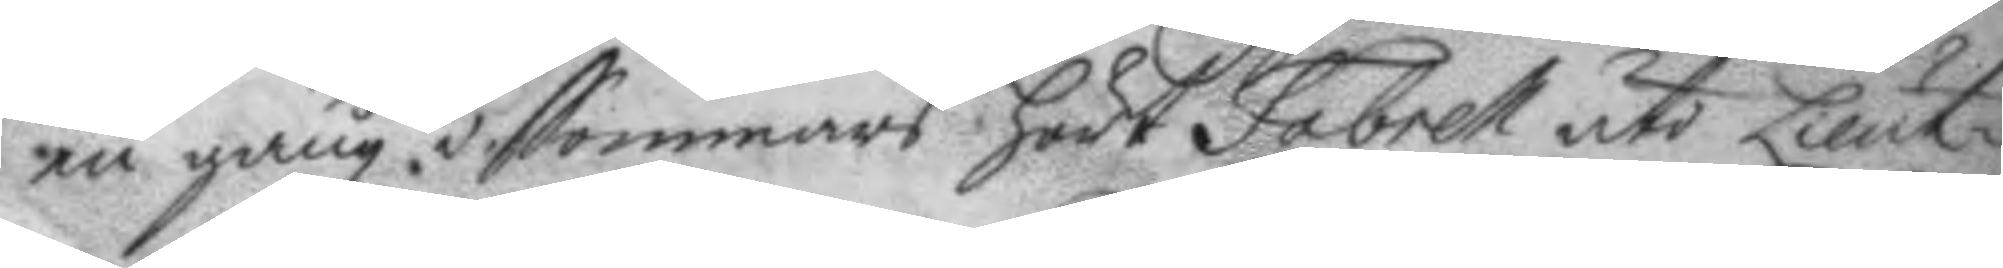en gång i Sommars hört Fabrell uti Lieut¬ 
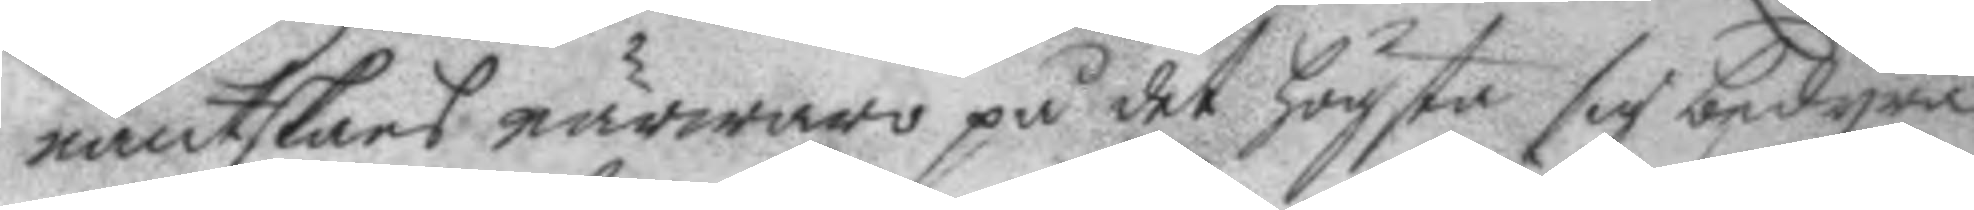nantskans närwaro på det högsta sig bedyra
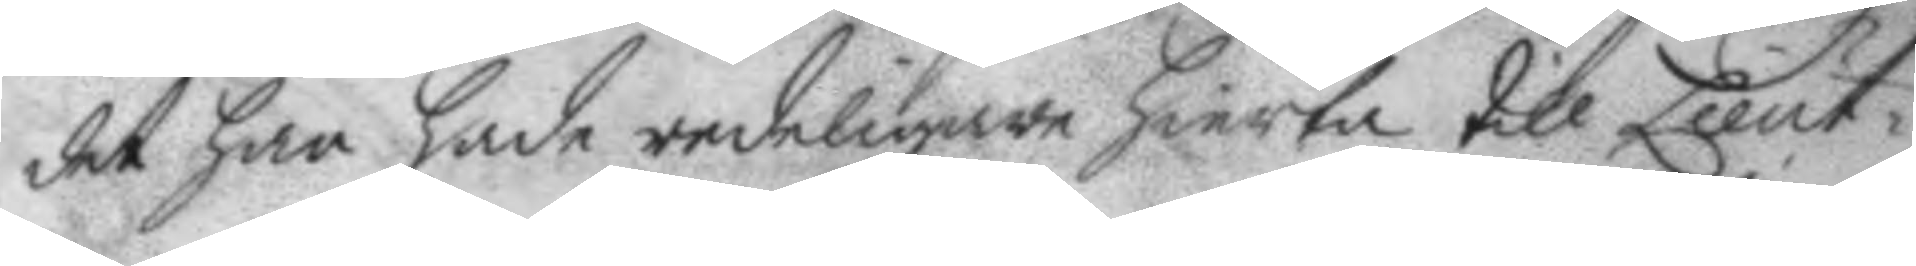det han hade redeligare hierta till Lieut¬ 
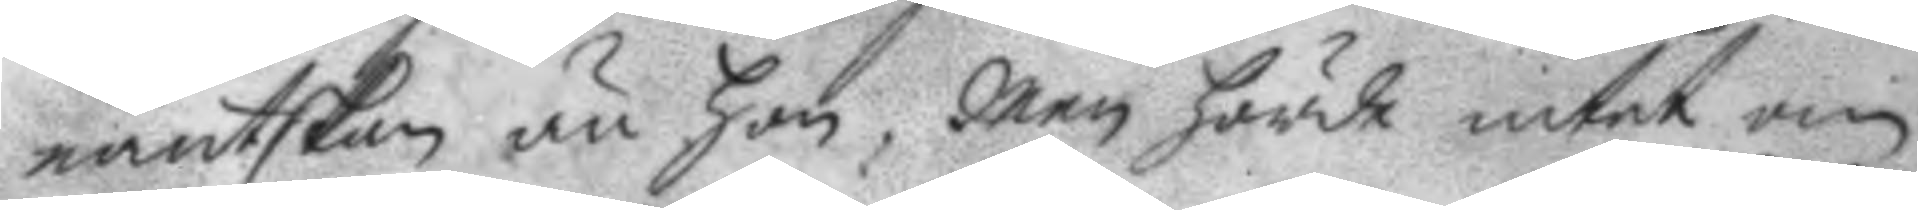nantskan än hon, Men hörde intet om
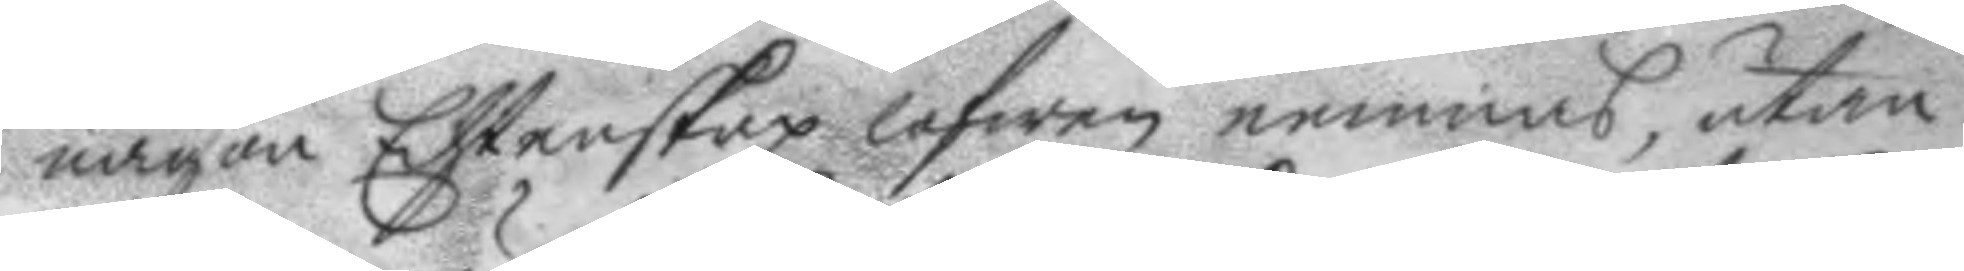någon Ehtenskap lofwen nemnas, utan
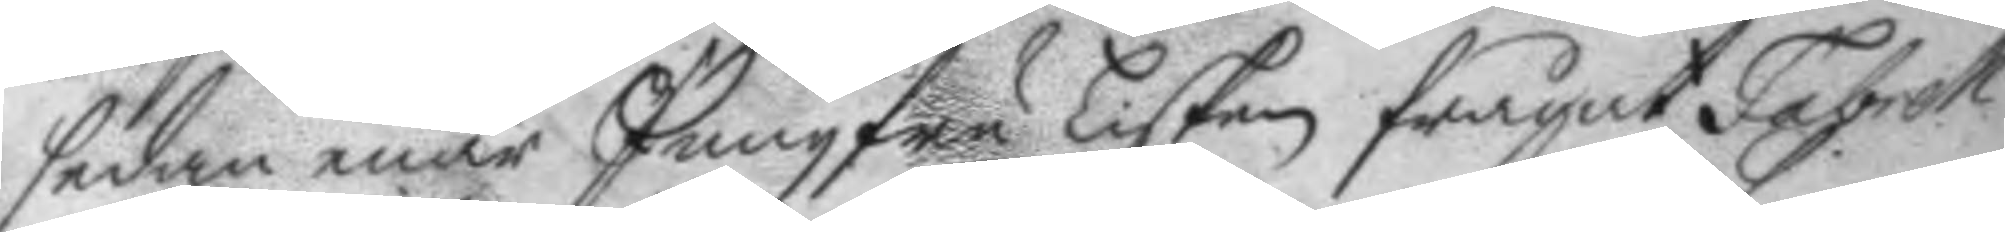sedan enär Jungfru Lisken frågat Fabrell
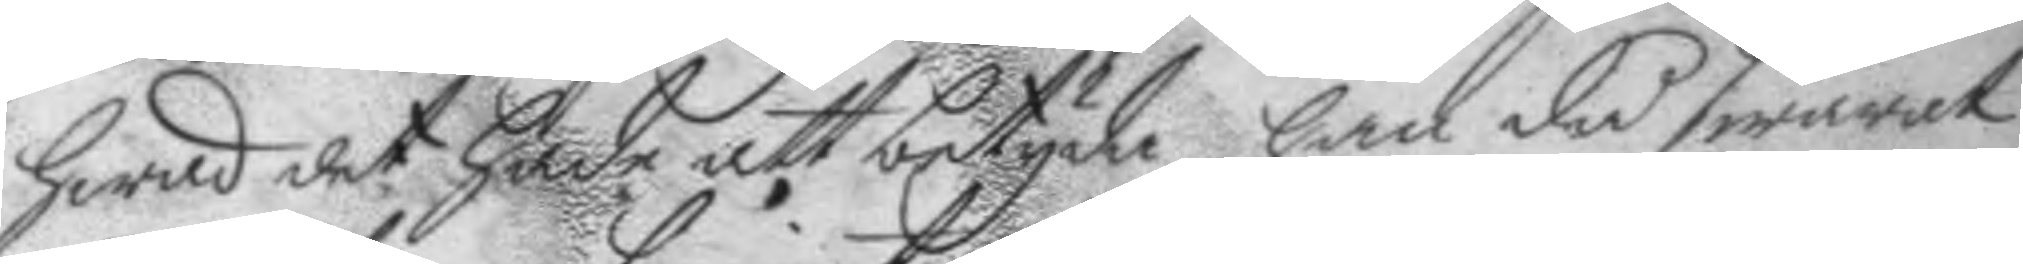hwad det hade att betyda han då swarat
